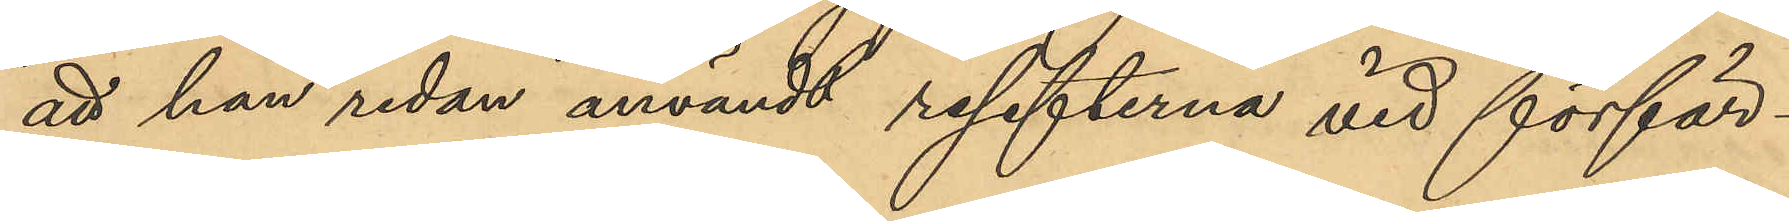att han redan användt resefterna vid förfär¬
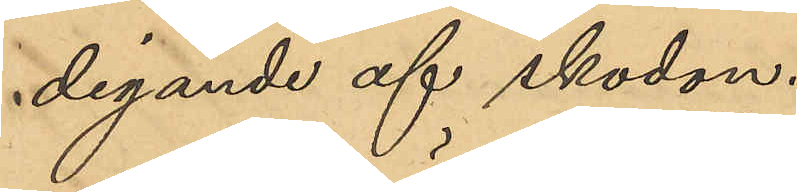digande af skodon.
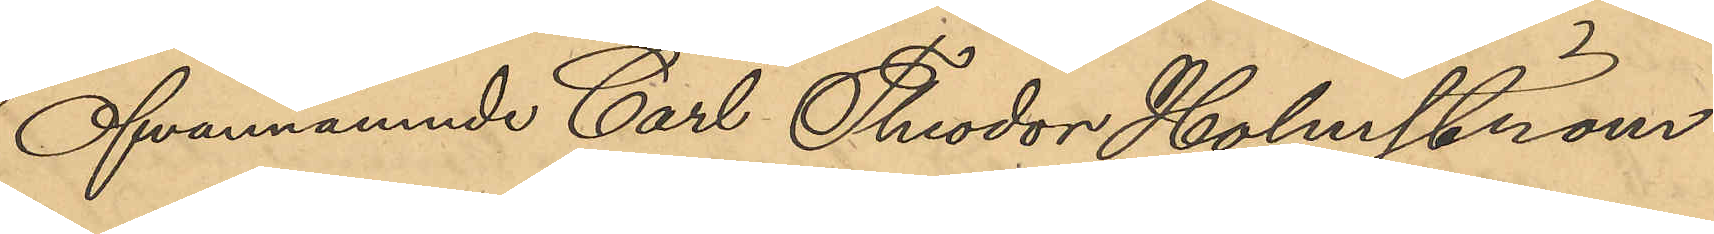Ofvannämnde Carl Theodor Holmström
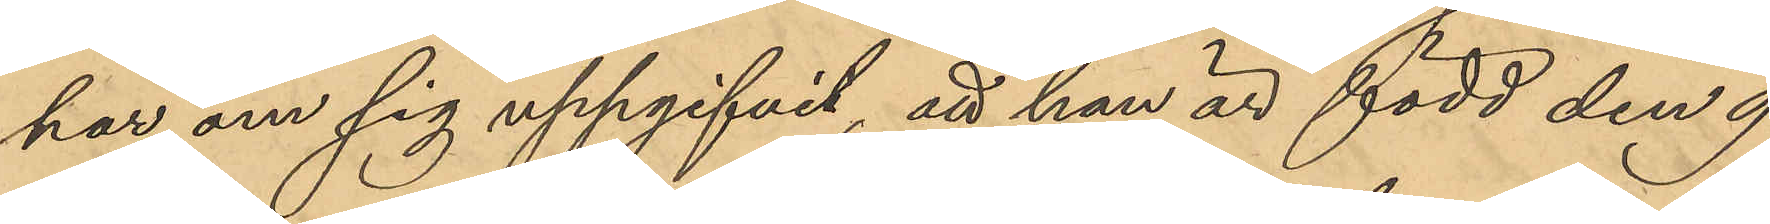har om sig uppgifvit, att han är född den 9
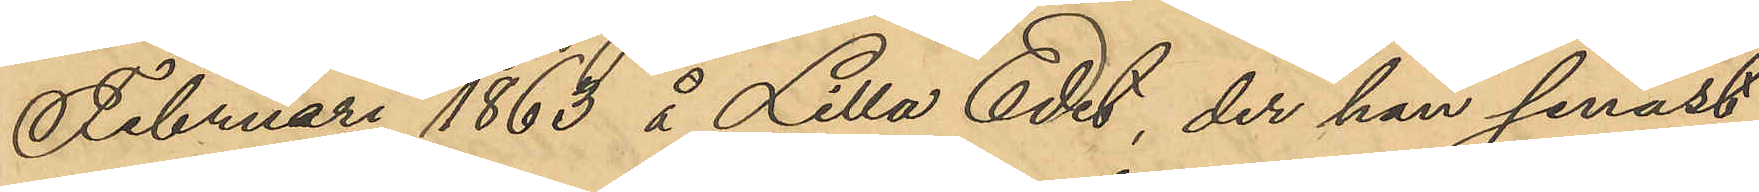Februari 1863 å Lilla Edet, der han senast
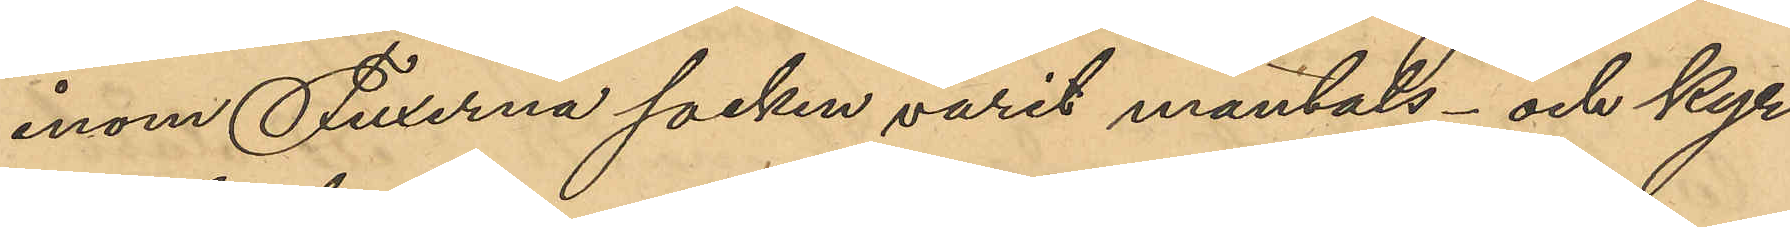inom Fuxerna socken varit mantals- och kyr¬
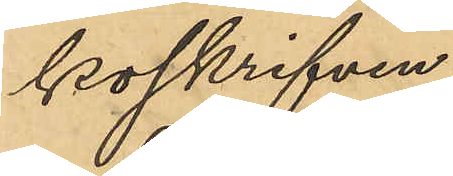koskrifven.
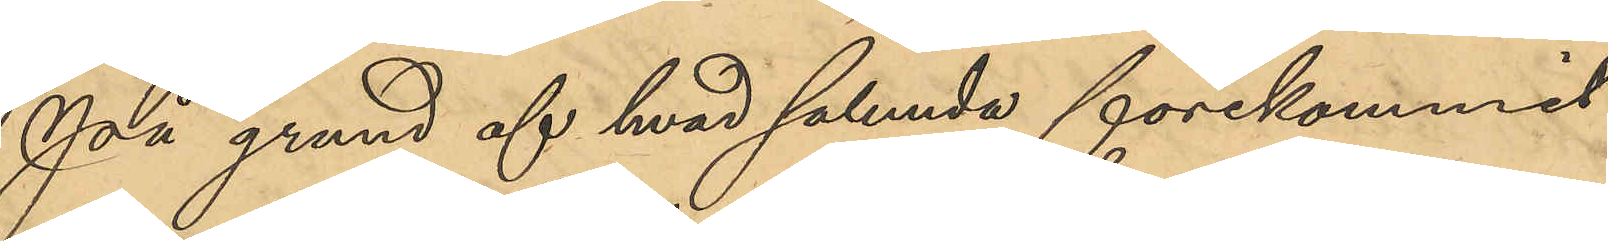På grund af hvad sålunda förekommit
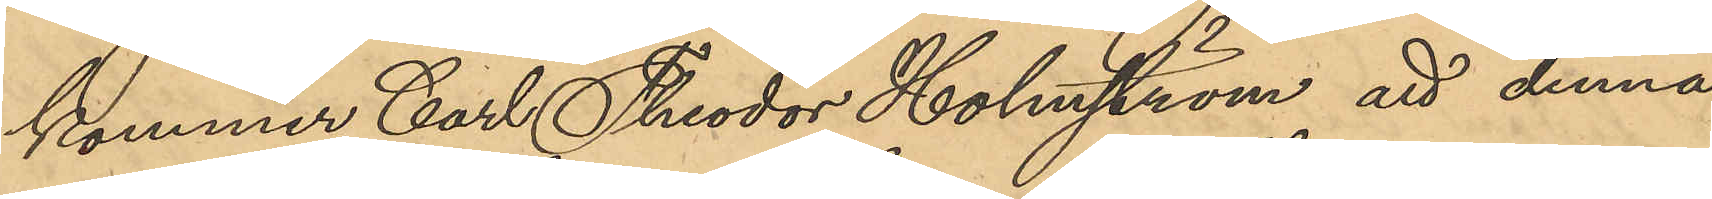kommer Carl Theodor Holmström att denna
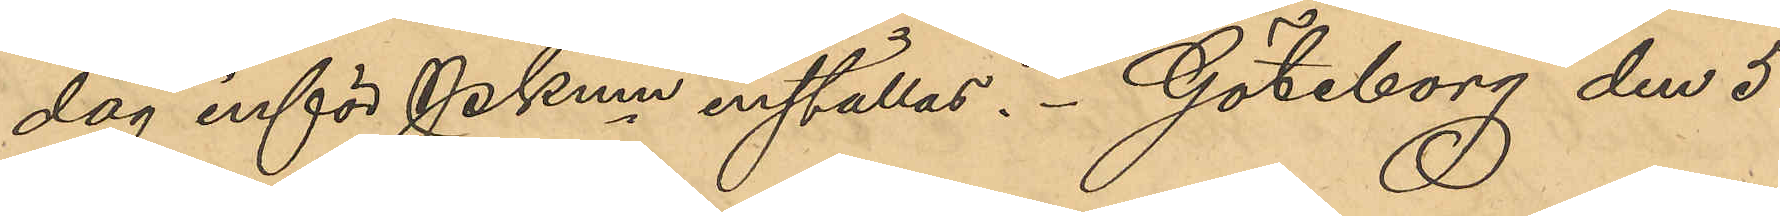dag inför Pkmn inställas. Göteborg den 5
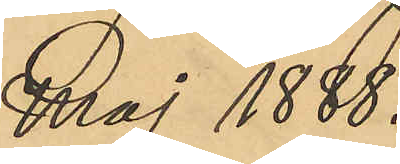Maj 1888.
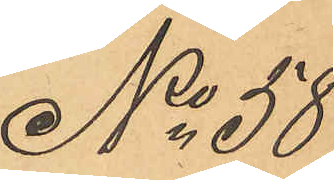No 58
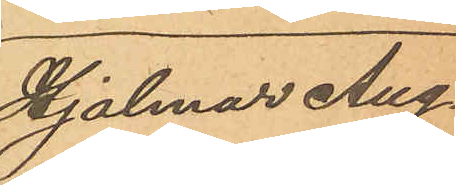Hjalmar Aug.
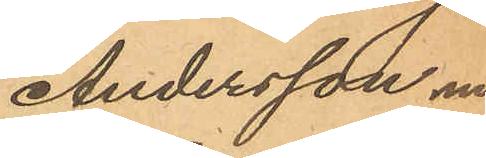Andersson m.
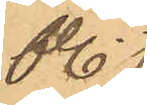fl.
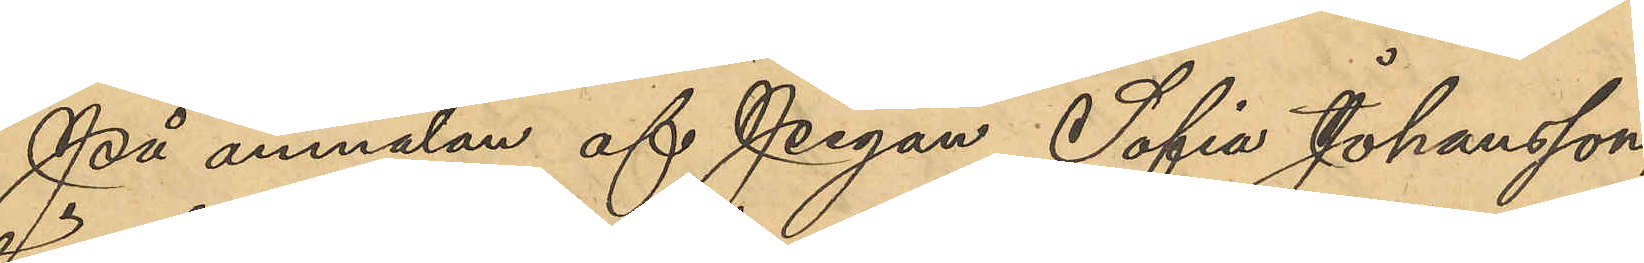På anmälan af Pigan Sofia Johansson,
